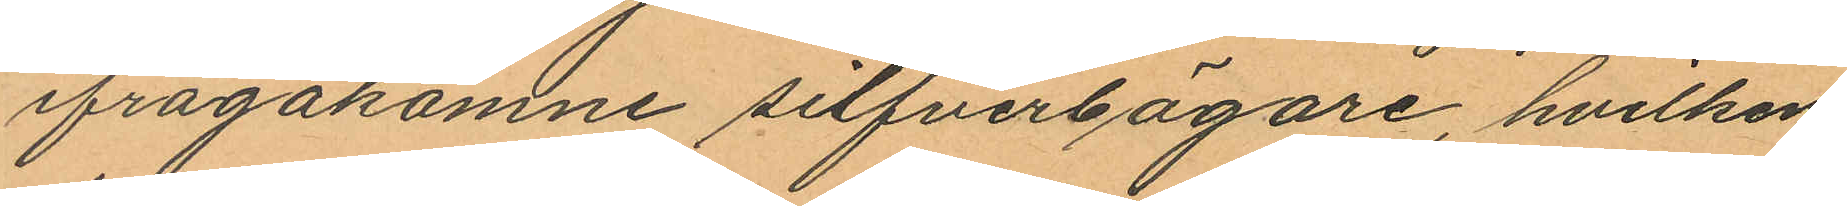ifrågakomne silfverbägare, hvilken
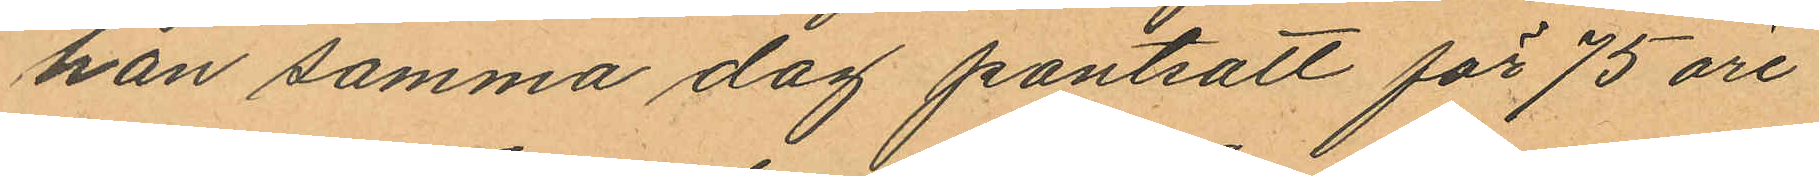han samma dag pantsatt för 75 öre
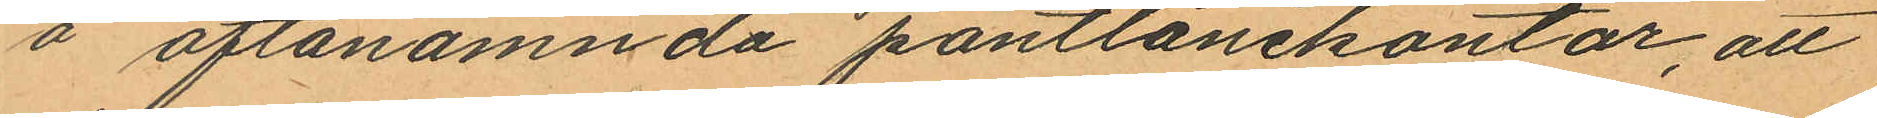å oftanämnda pantlånekontor, att
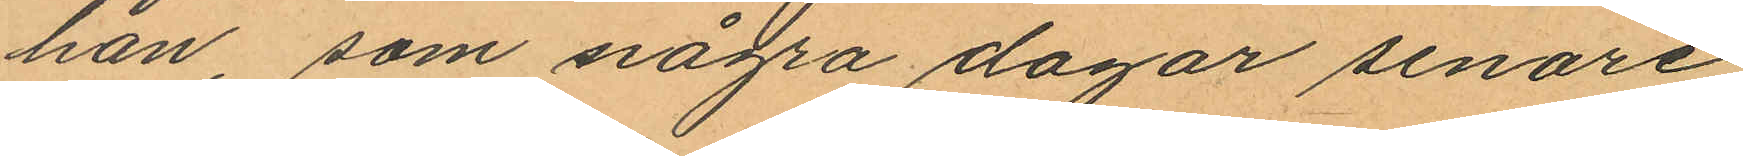han, som några dagar senare
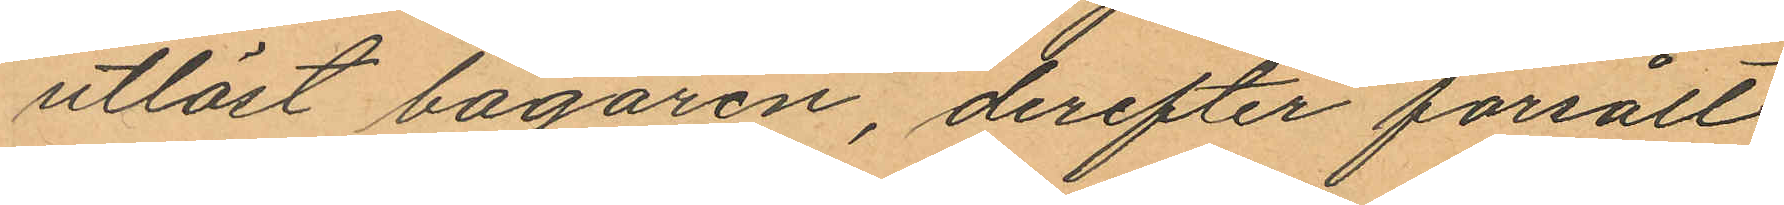utlöst bägaren, derefter försålt
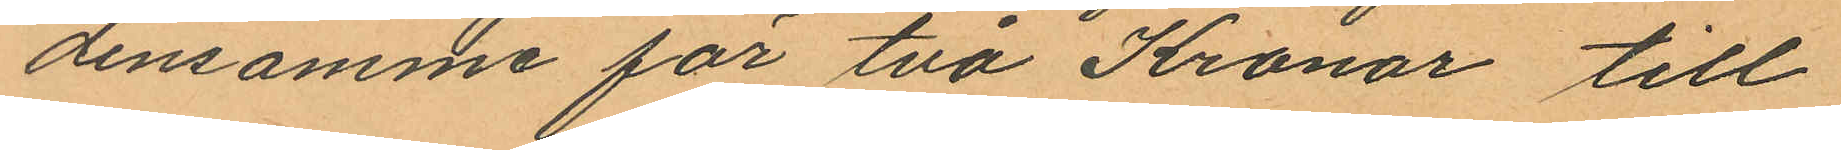densamme för två Kronor till
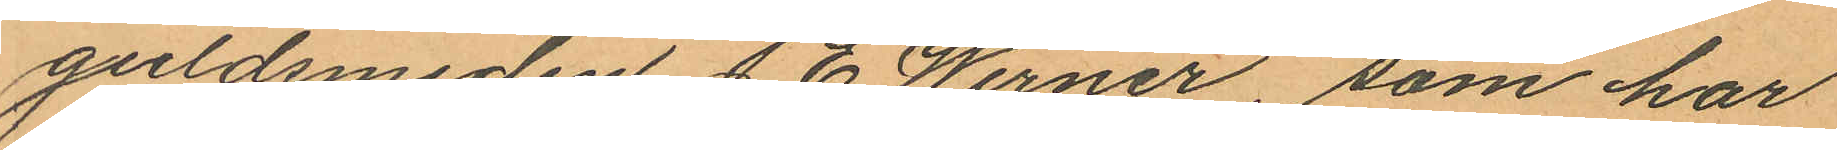guldsmeden J. E. Werner, som har
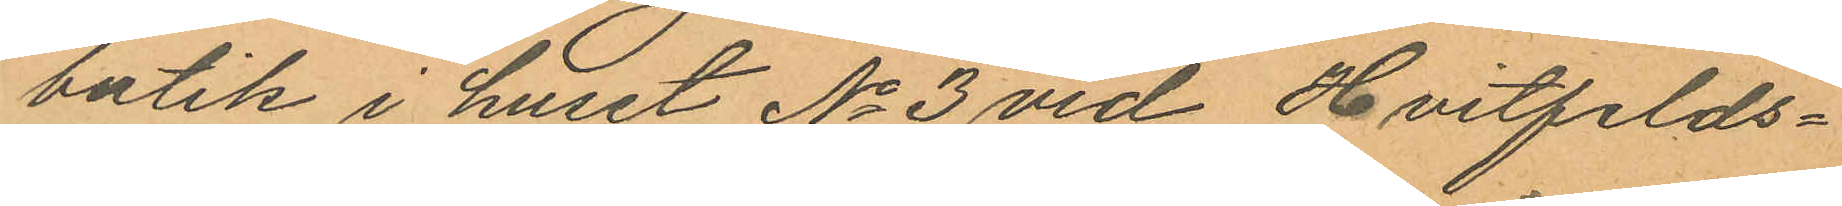butik i huset No 3 vid Hvitfelds¬
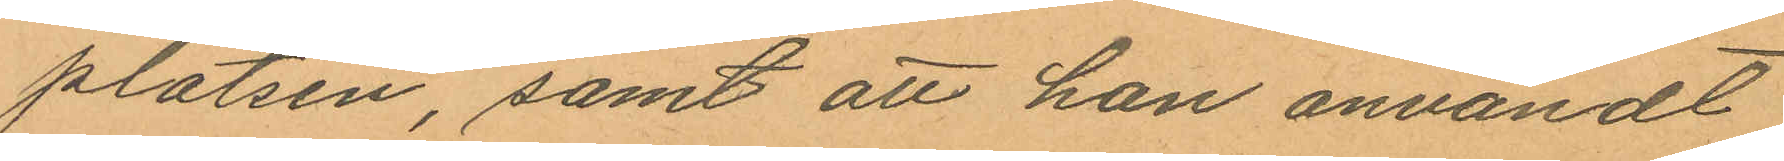platsen, samt att han användt
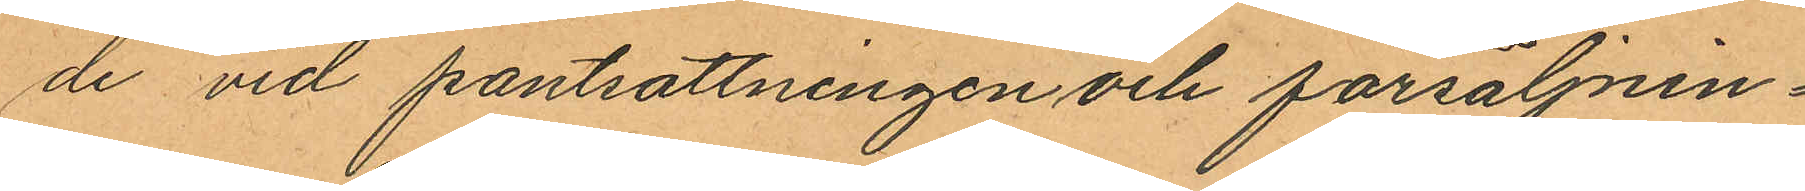de vid pantsattningen och försäljnin¬
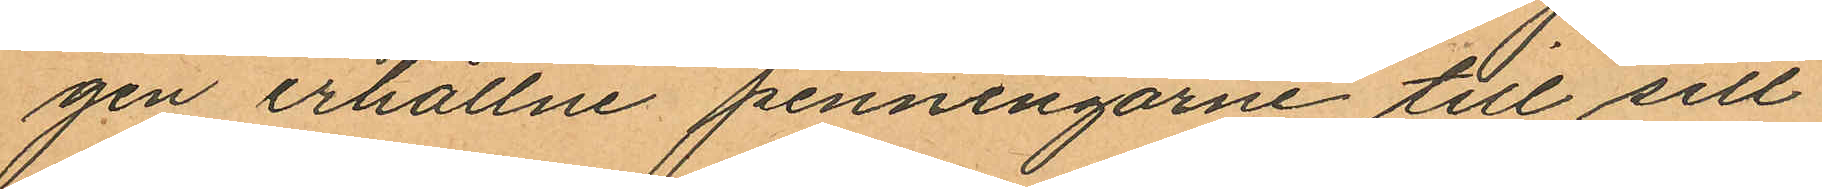gen erhållne penningarne till sill
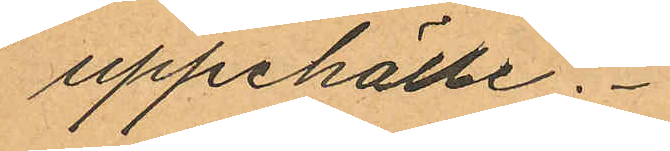uppehälle.
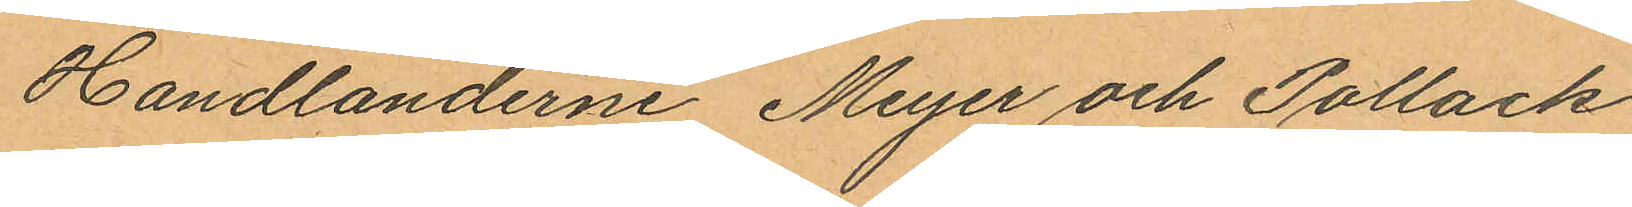Handlanderne Meyer och Pollack
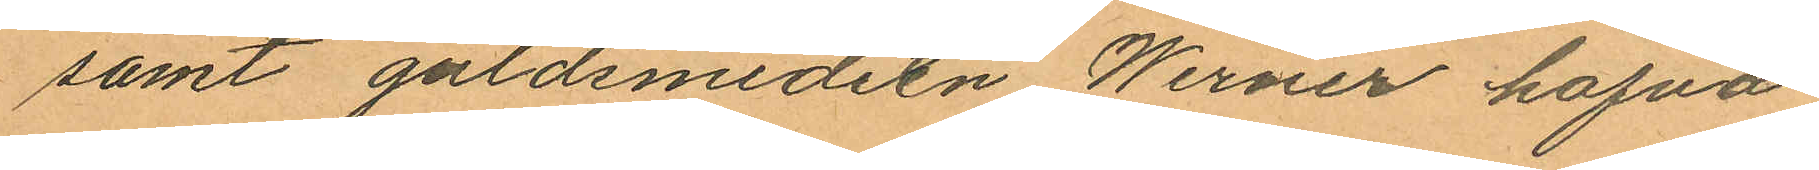samt guldsmedeln Werner hafva
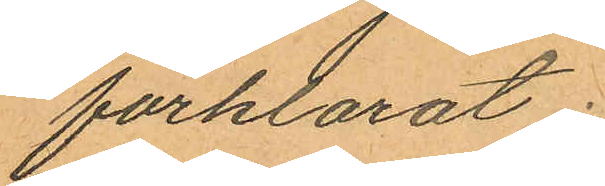förklarat:
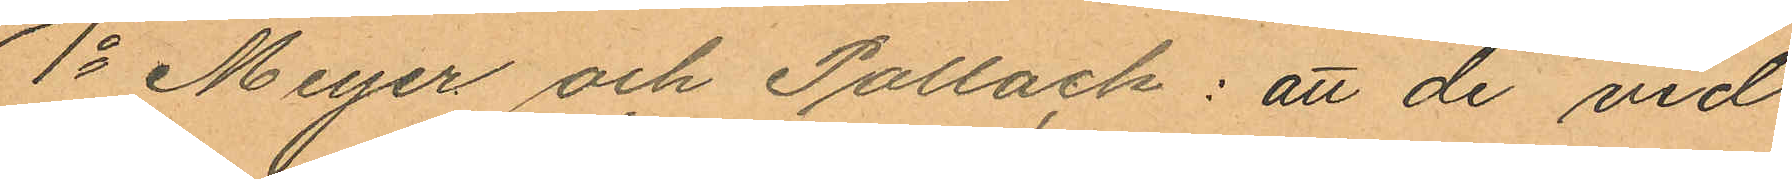1o Meyer och Pollack: att de vid
